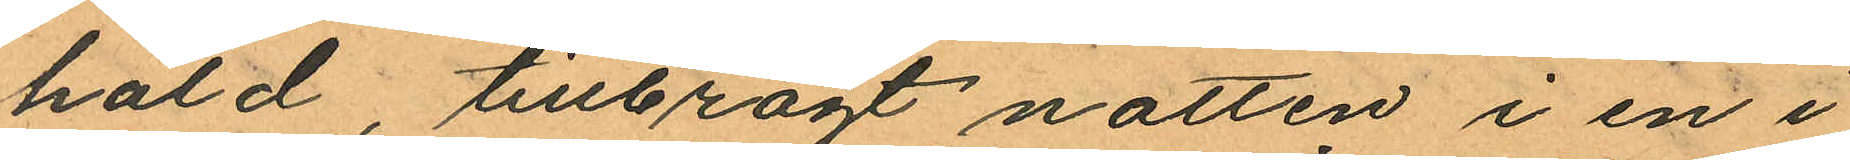hald, tillbragt natten i en i
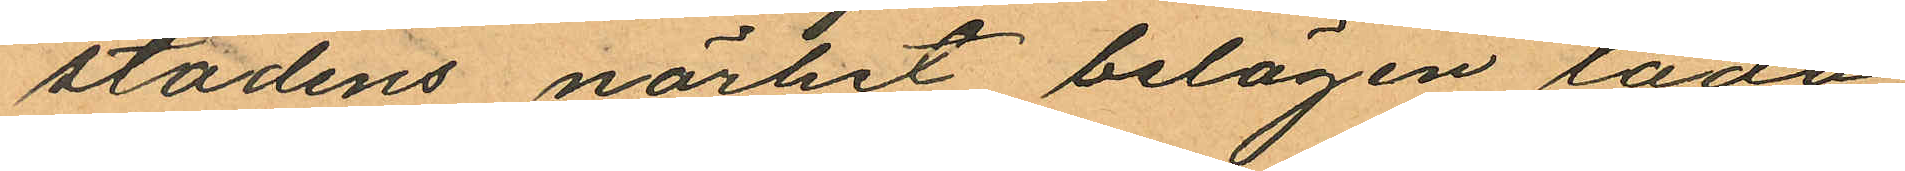stadens närhet belägen lada
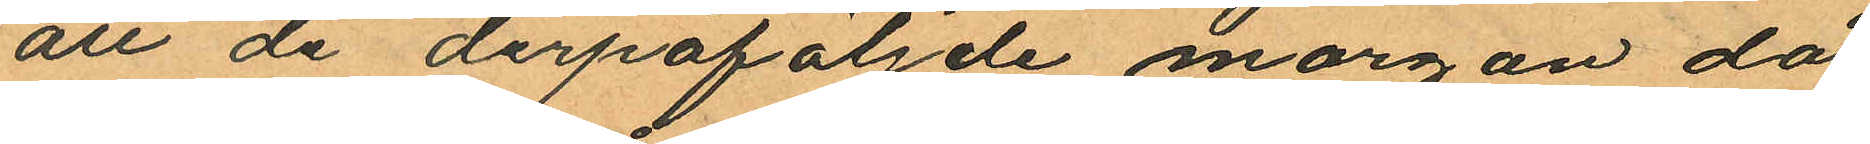att de derpåföljde morgon då
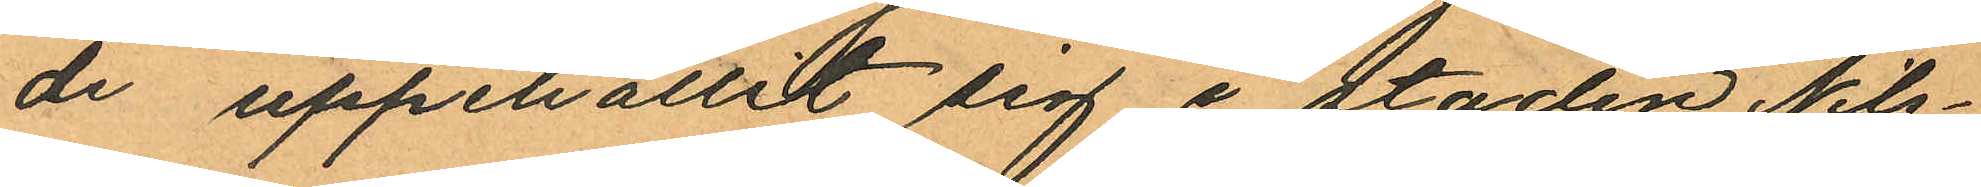de uppehållit sig i staden Nils¬
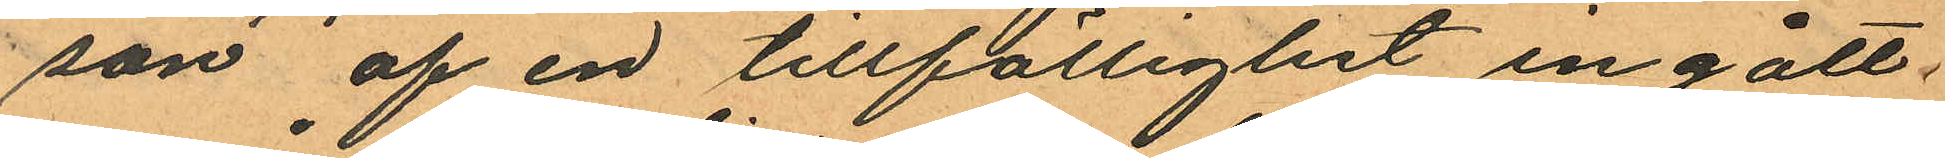son af en tillfällighet ingått
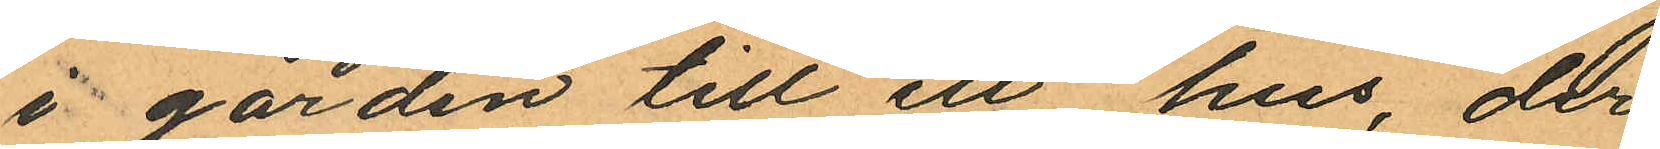i gården till ett hus, der
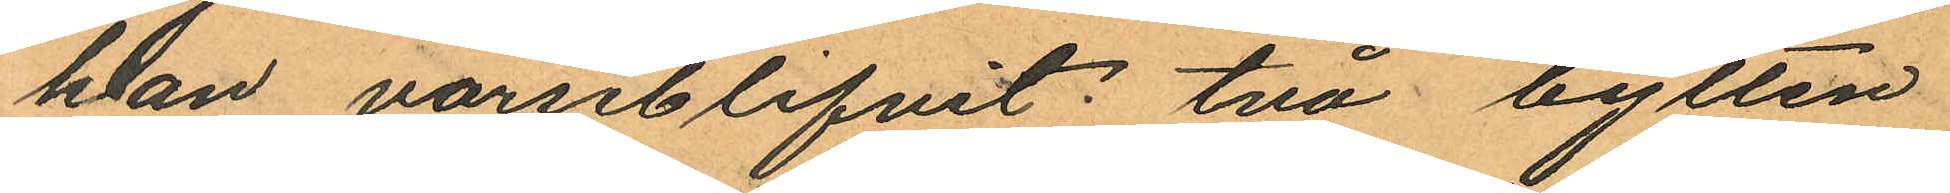han varseblifvit: två bylten
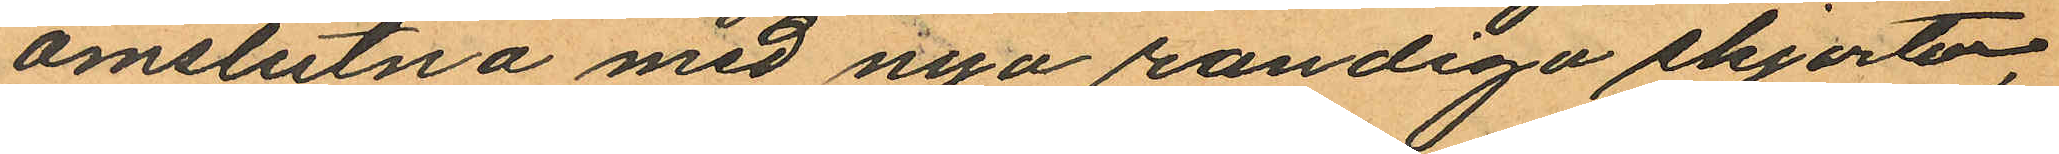omslutna med nya randiga skjortor,
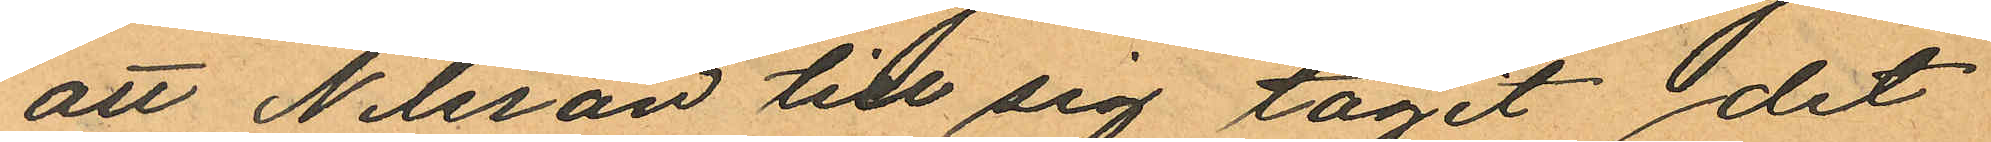att Nilsson till sig tagit det
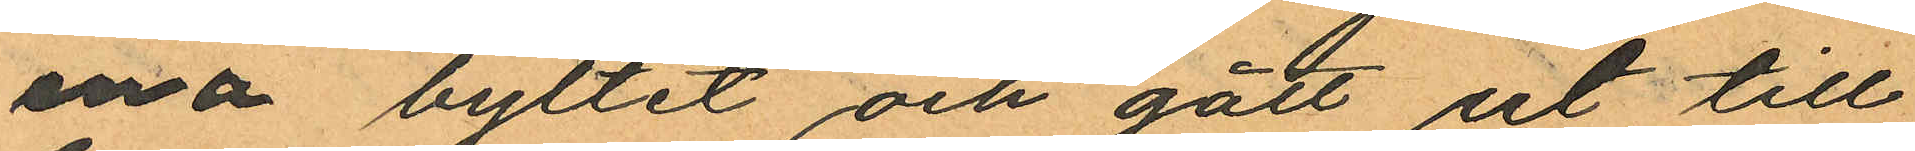ena byltet oh gått ut till
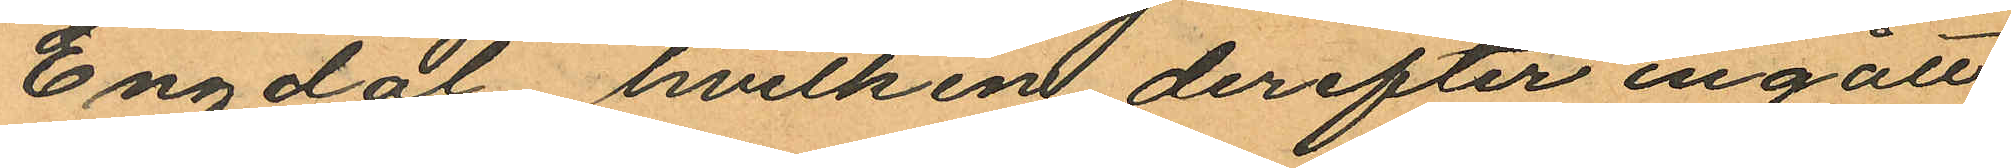Engdal, hvilken derefter ingått
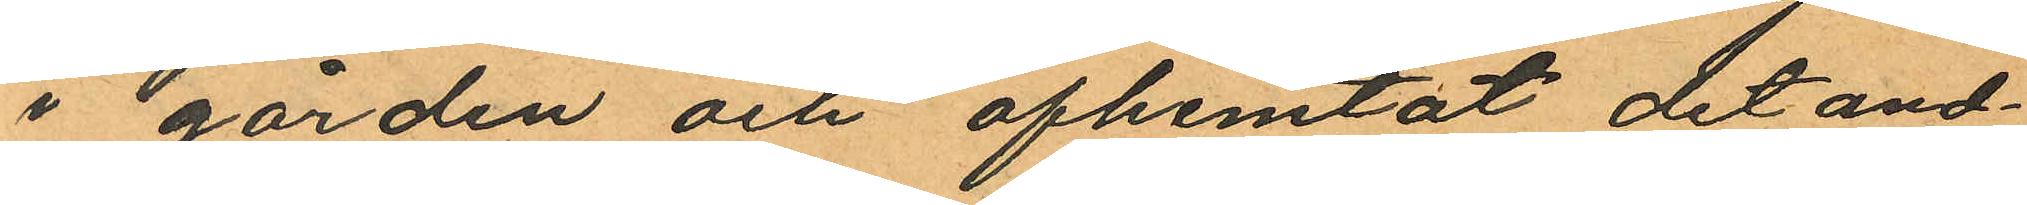i gården och afhemtat det and¬
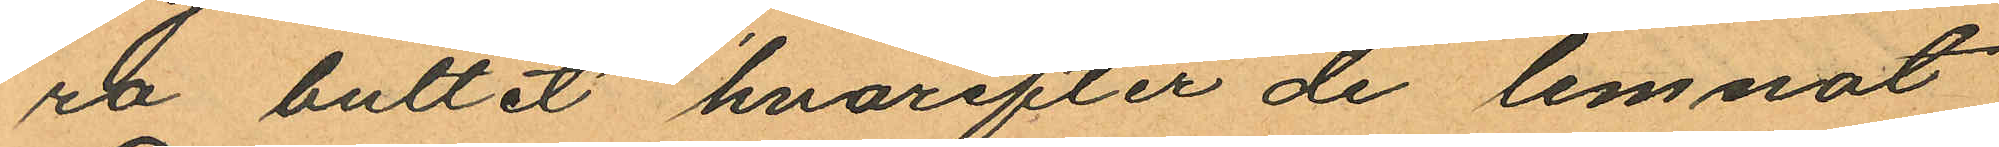ra bultet hvarefter de lemnat
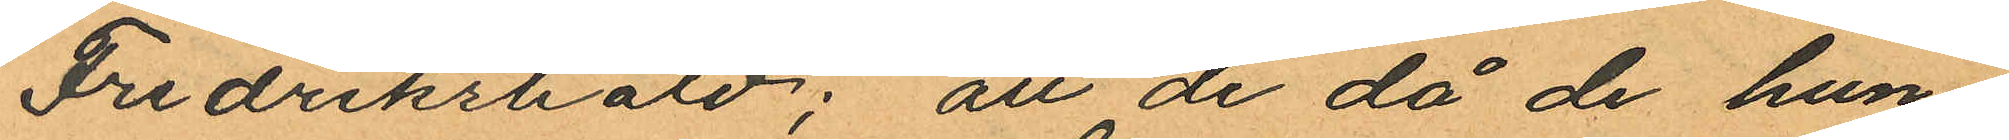Fredrikshald; att de då de hun
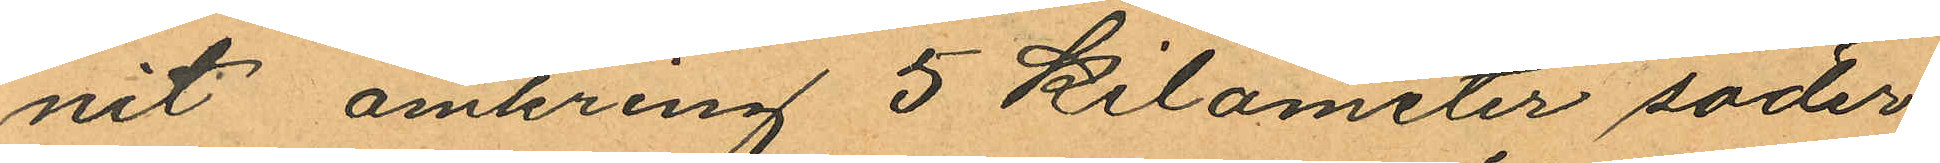nit omkring 5 Kilometer söder
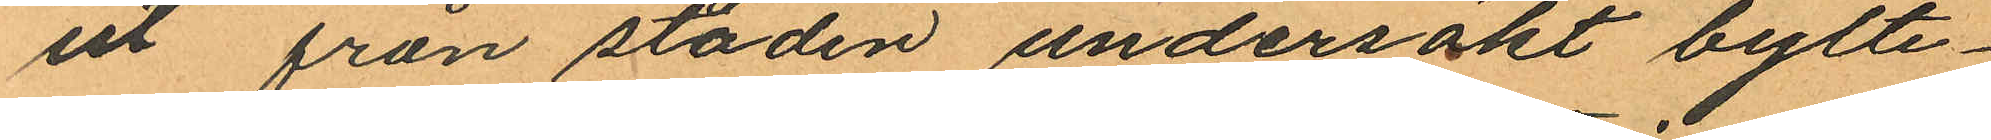ut från staden undersökt bylte¬
